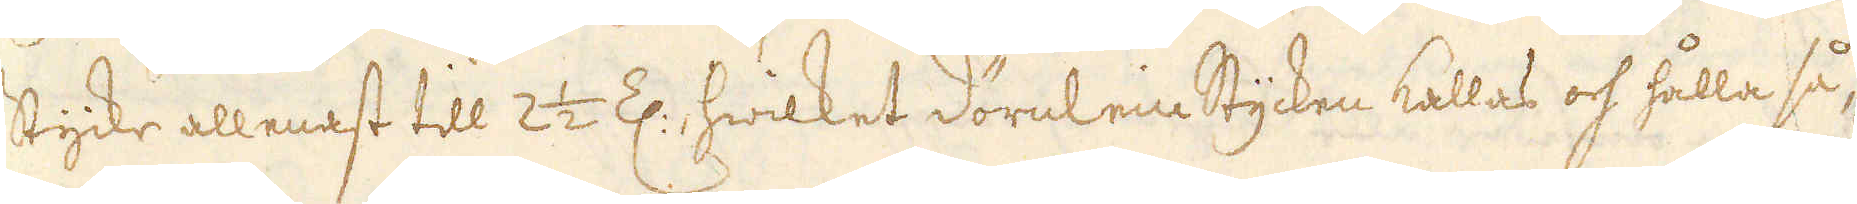stycke allenast till 2 1/2 Z: hwilket dörelein Stycken kallas och hålla så-
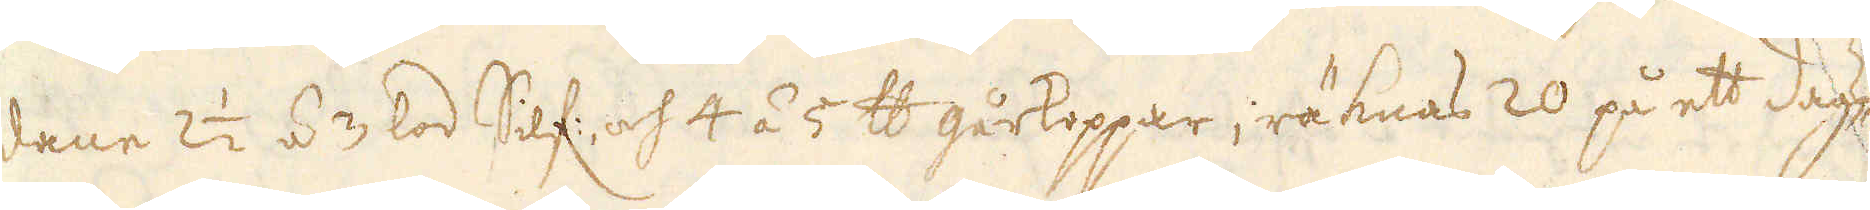dane 2 1/2 á 3 lod Silf: och 4 á 5 skålpund gårkoppar; räknas 20 på ett dags-
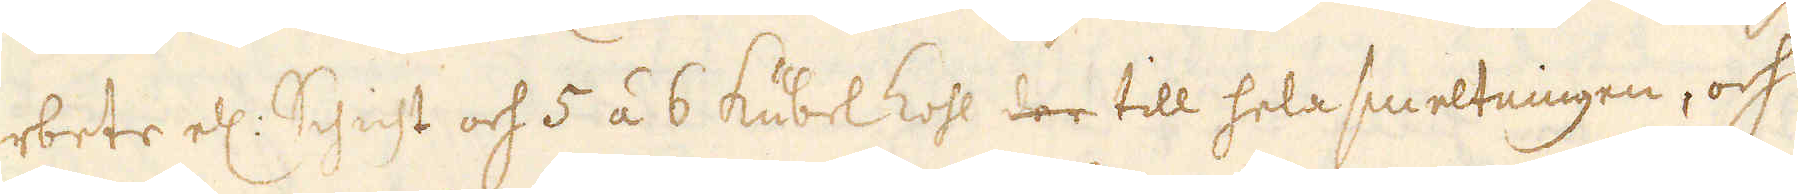arbete el: Schicht och 5 á 6 Kubel kohl der till hela smeltningen, och
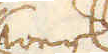werk
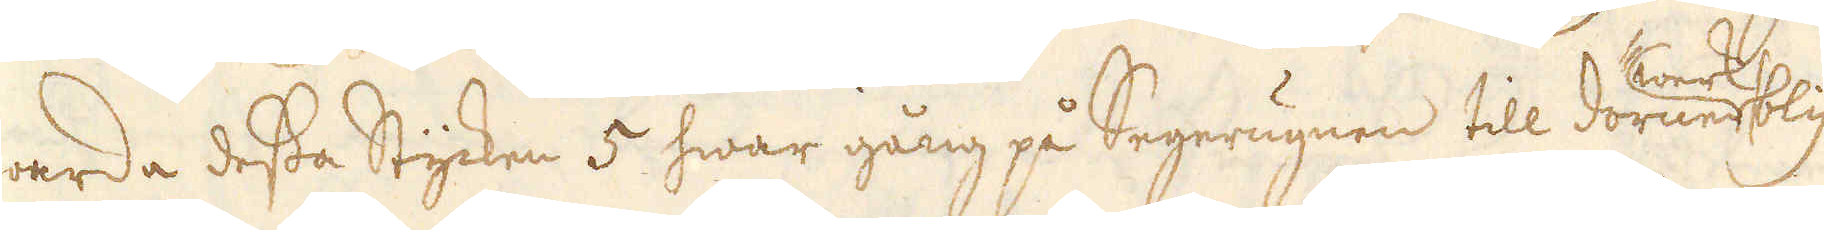warda dessa Stycken 5 hwar gång på Segerugnen till dorun bly
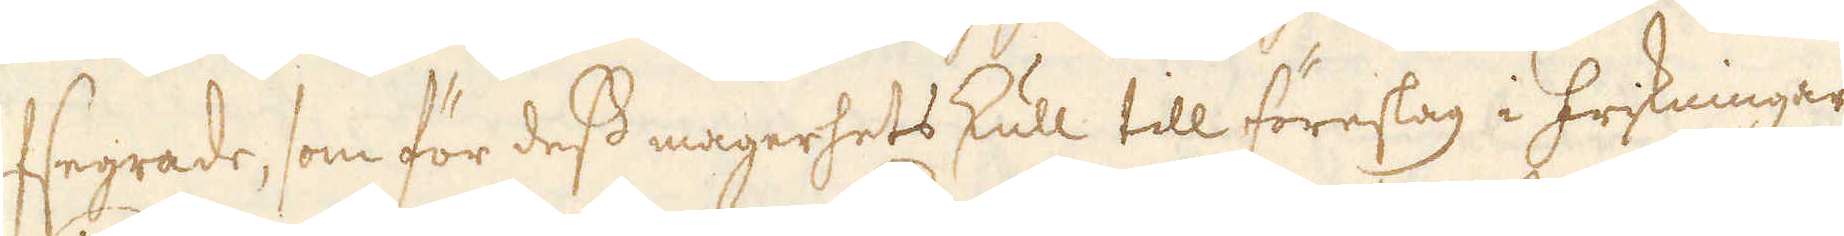afsegrade, som för dess magerhets skull till föreslag i friskningar
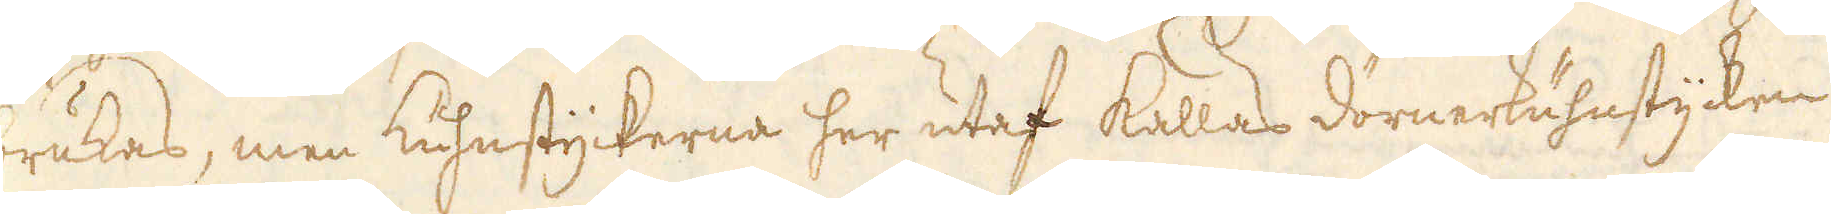brukas, men kuhnstyckerna her utaf kallas dörnerkuhnstycken
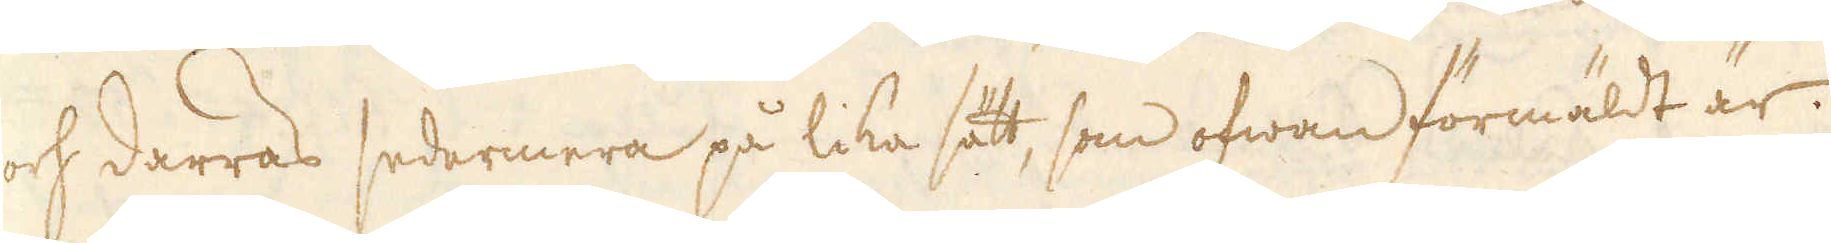och darras sedermera på lika sätt, som ofwan förmäldt är.
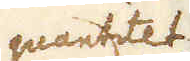quantitet
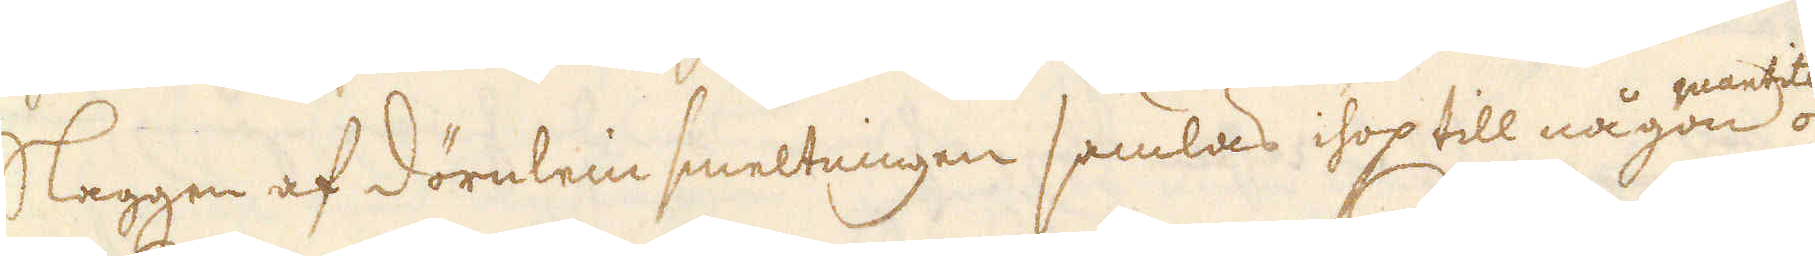Slaggen af dörnlein smeltningen samlas ihop till någon och
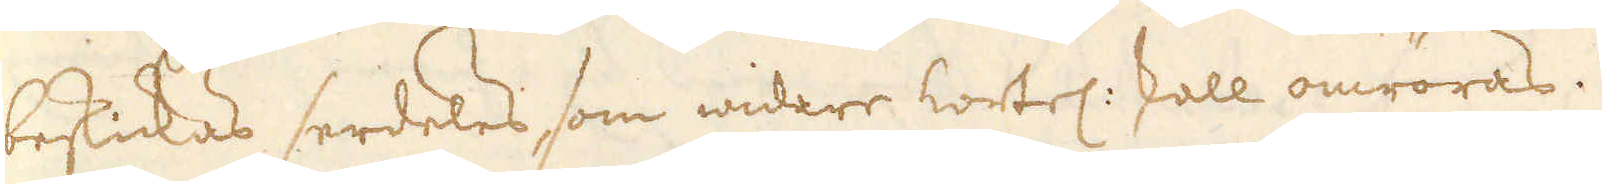beskickas serdeles som widare kortel: skall omröras.
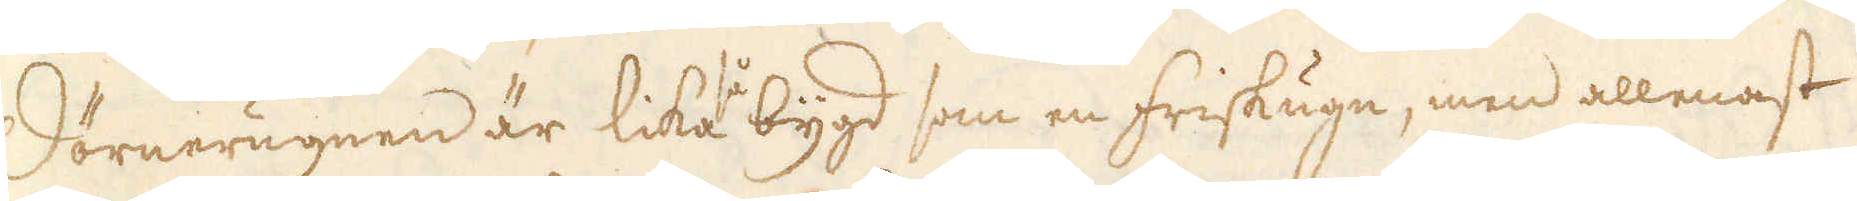Dörnerugnen är lika bygd som en friskugn, men allenast
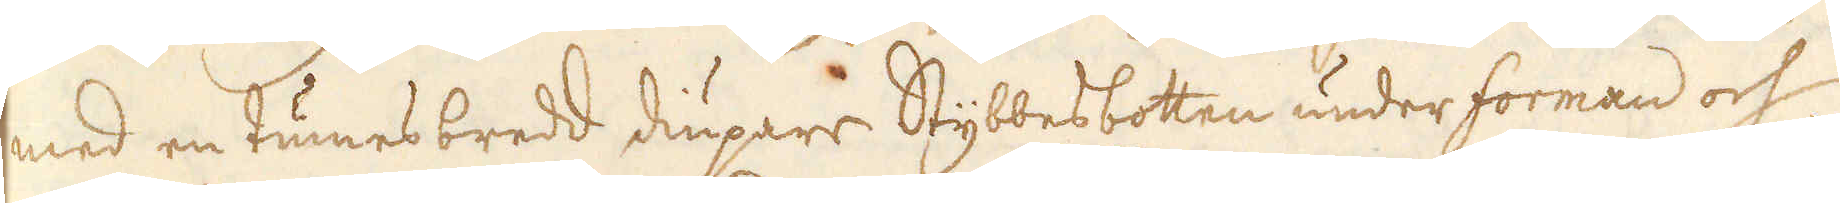med en tumesbredd diupare Stybbesbotten under forman och
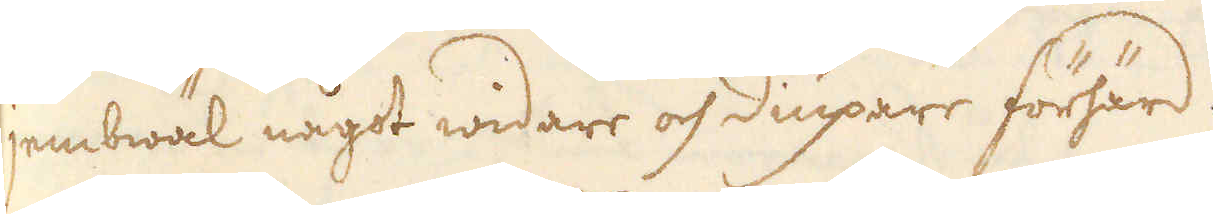jembwäl något widare och diupare förhärd.
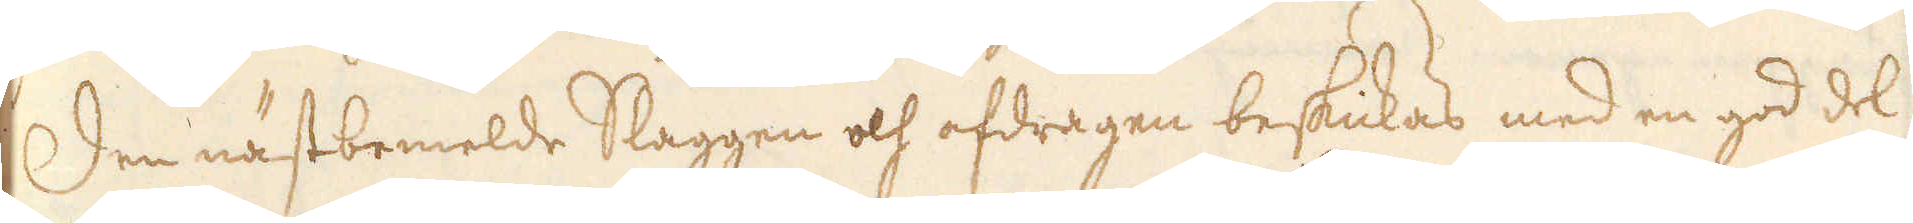Den nästbemelde Slaggen och afdragen beskickas med en god del
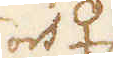och ♀
